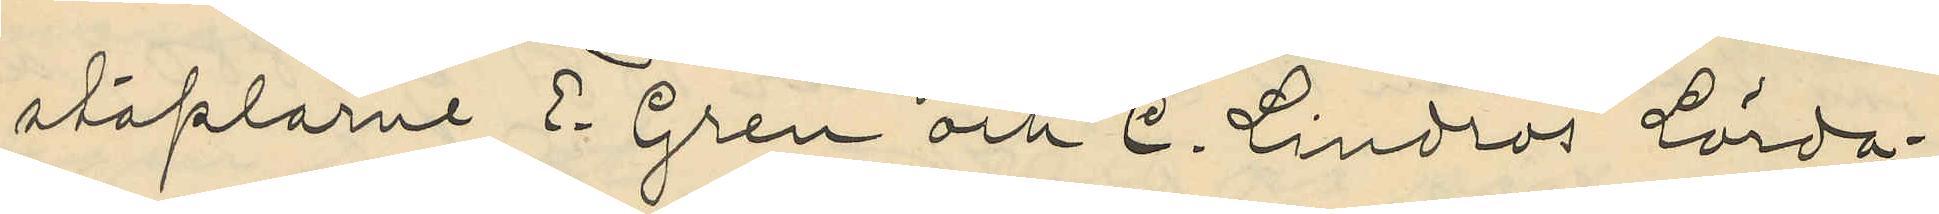staplarne E. Gren och C. Lindros Lörda¬
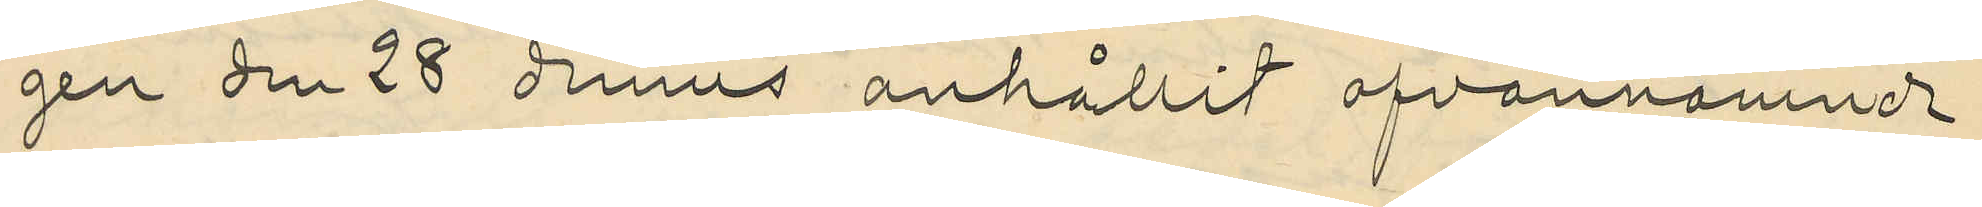gen den 28 dennes anhållit ofvannämnde
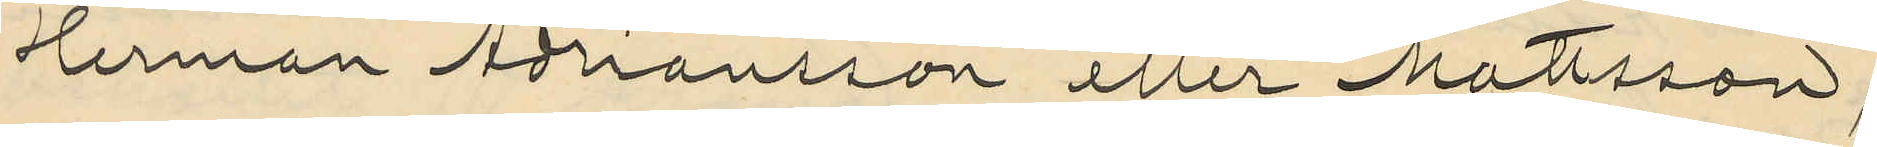Herman Adriansson eller Mattsson,
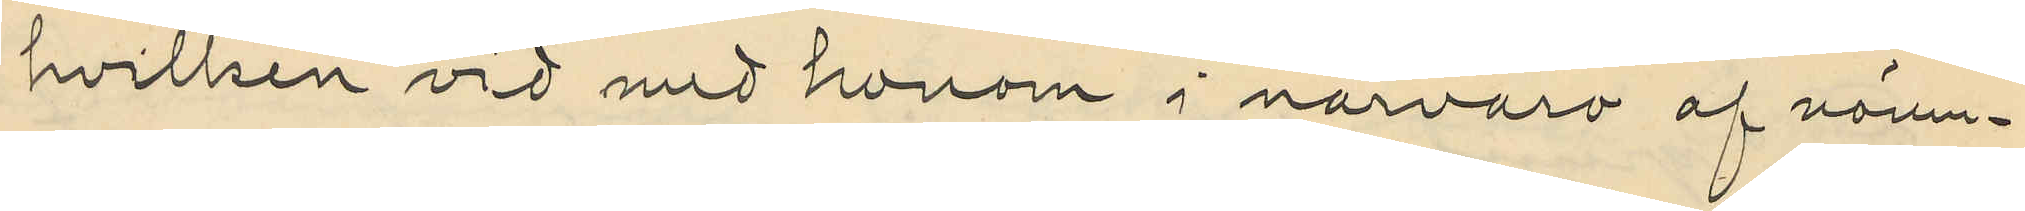hvilken vid med honom i närvaro af nämn¬
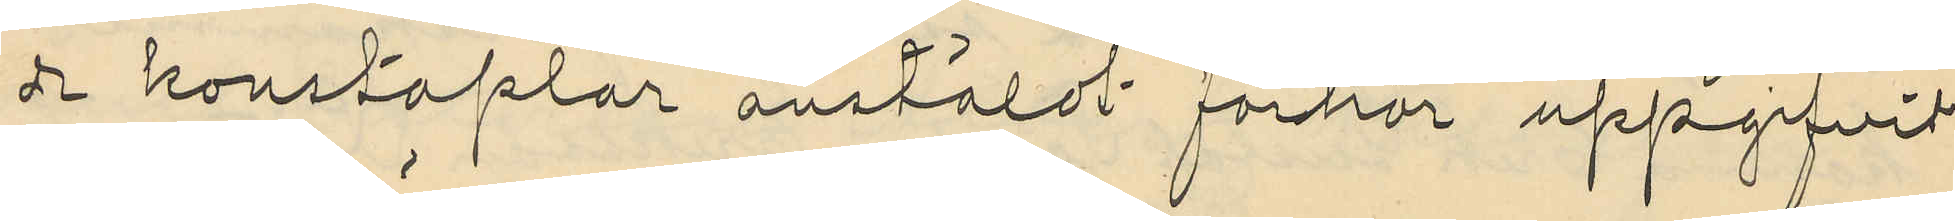de konstaplar anstäldt förhör uppgifvit
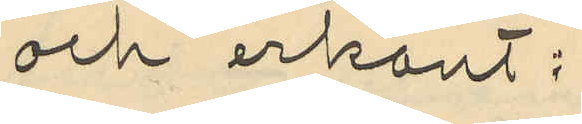och erkänt:
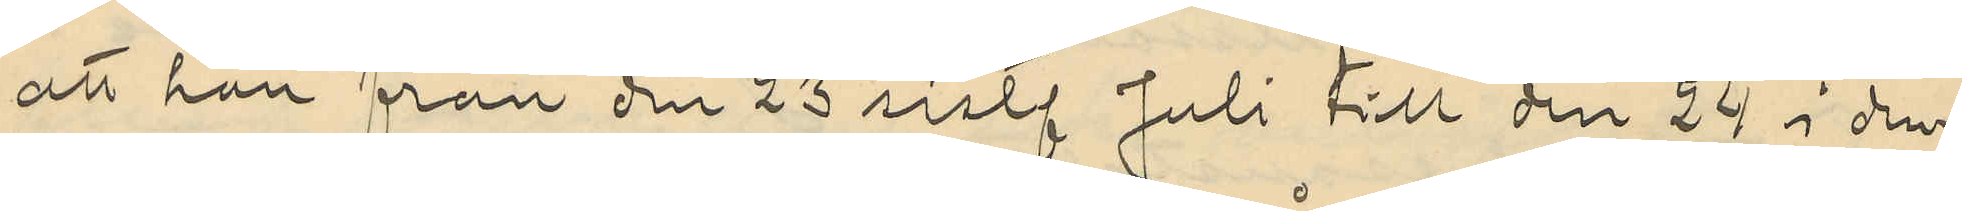att han från den 23 sistl. Juli till den 24 i den¬
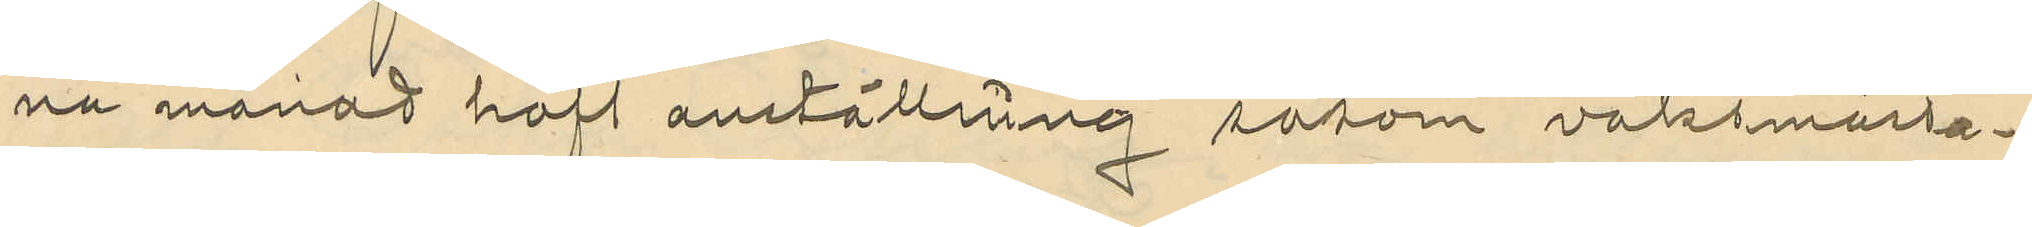na månad haft anställning såsom vaktmästa¬
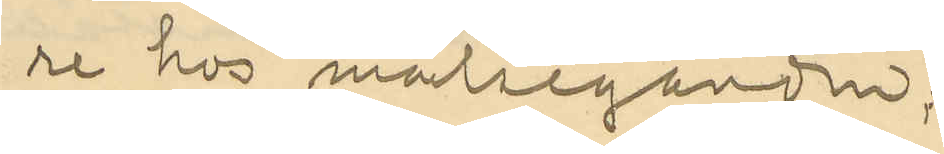re hos målseganden;
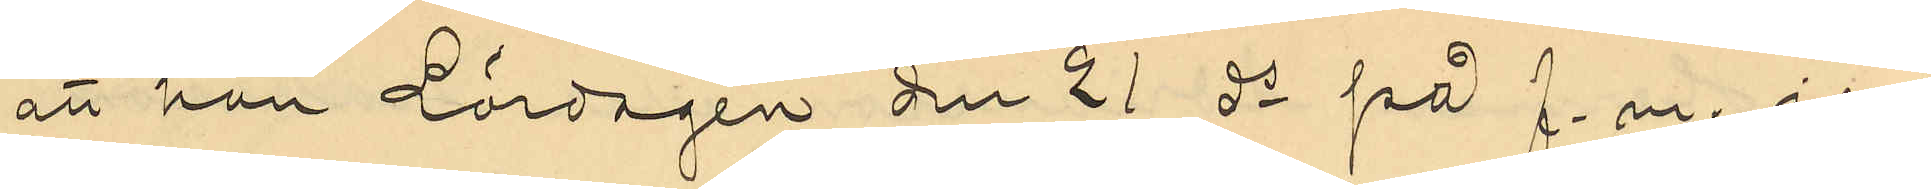att han Lördagen den 21 ds på f.m. i en
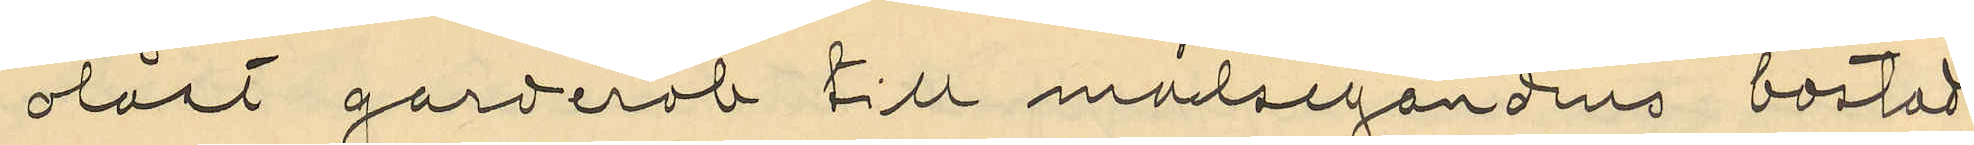olåst garderob till målsegandens bostad
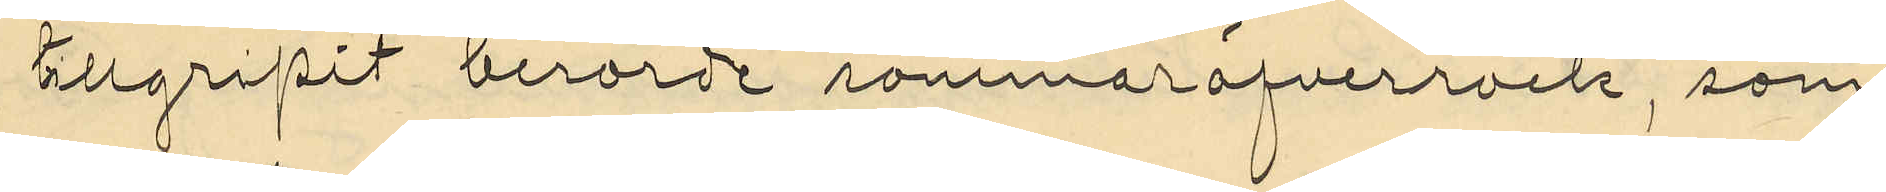tllgripit berörde sommaröfverrock, som
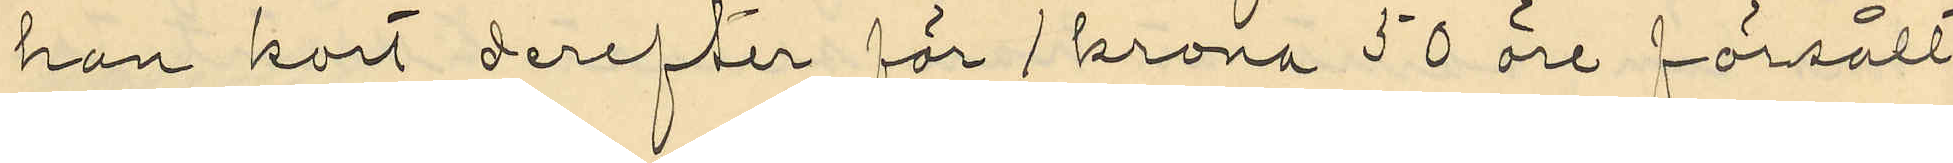han kort derefter för 1 krona 50 öre försålt
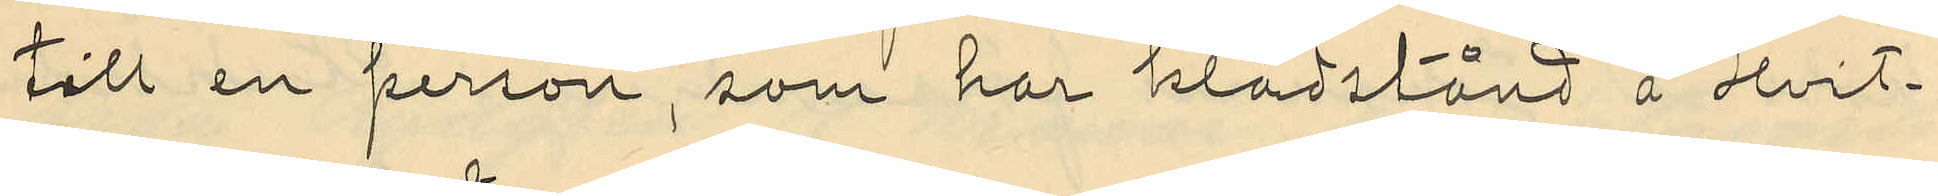till en person, som har klädstånd å Hvit¬
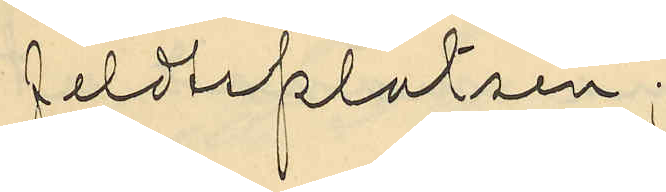feldsplatsen;
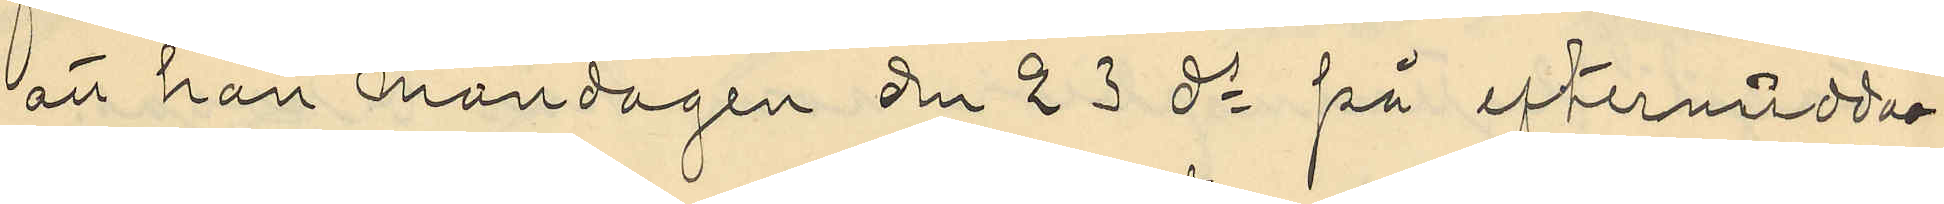att han måndagen den 23 ds på eftermidda¬
